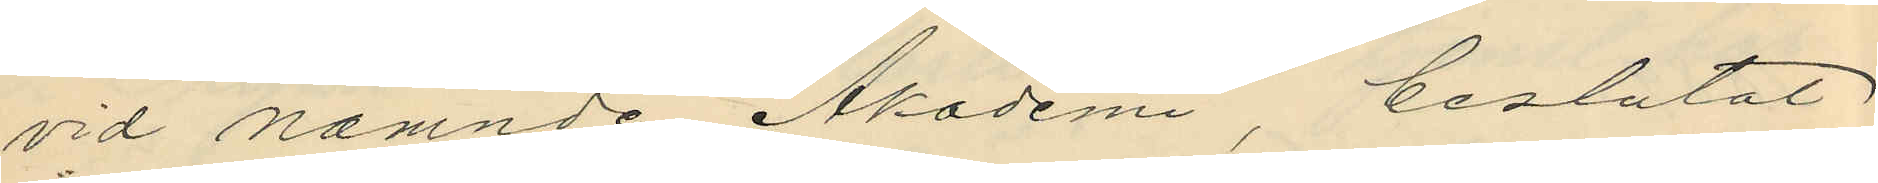vid nämnde Akademi, beslutat
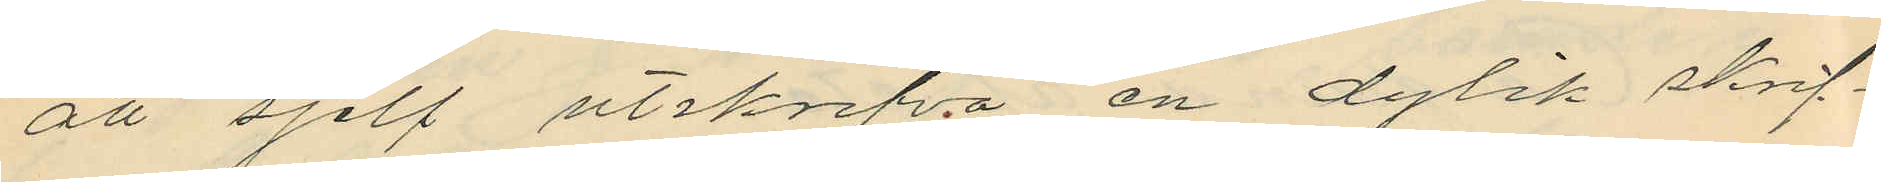att sjelf utskrifva en dylik skrif¬
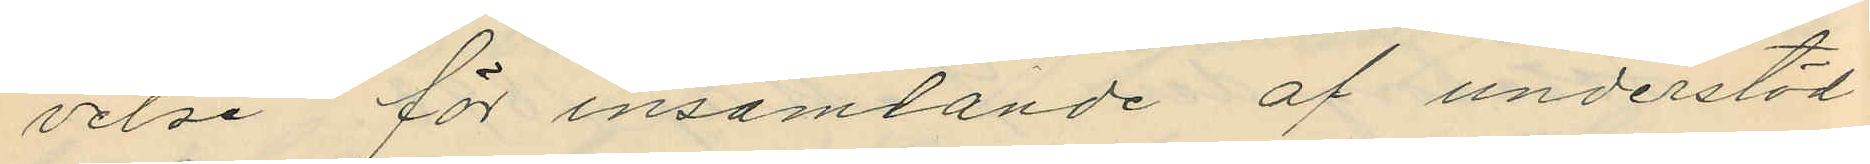velse för insamlande af understöd
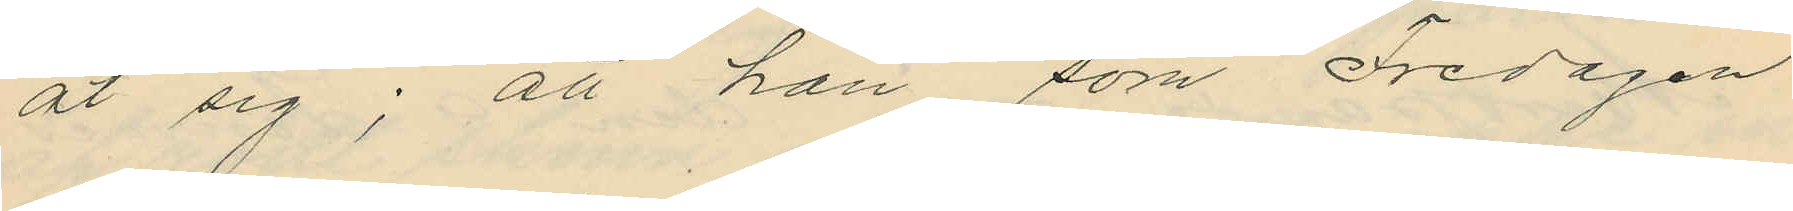åt sig; att han som Fredagen
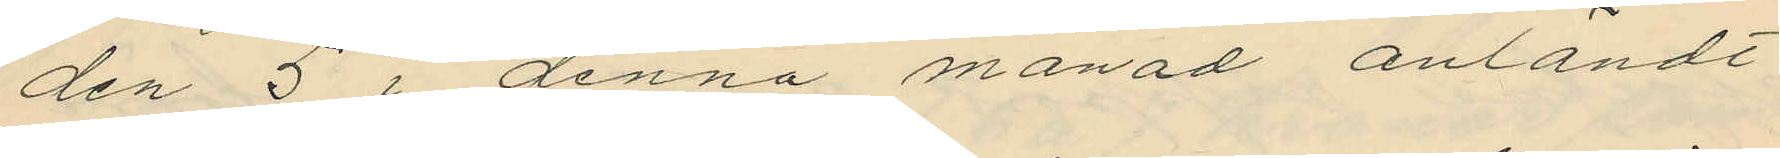den 5 i denna månad anländt
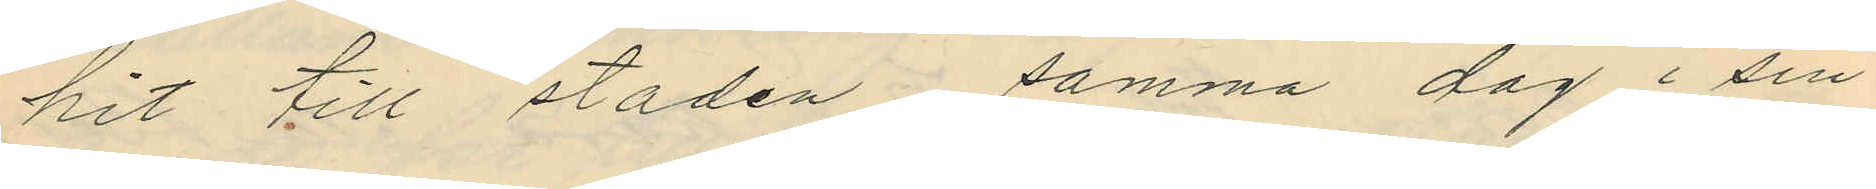hit till staden, samma dag i sin
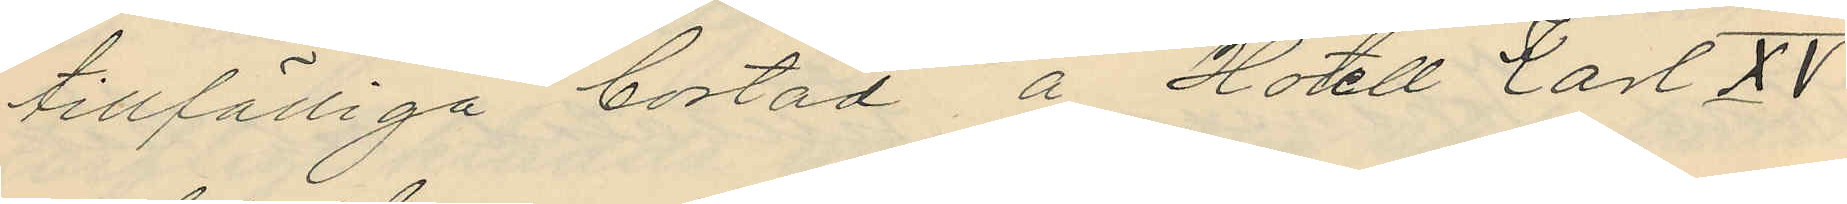tillfälliga bostad å Hotell Carl XV
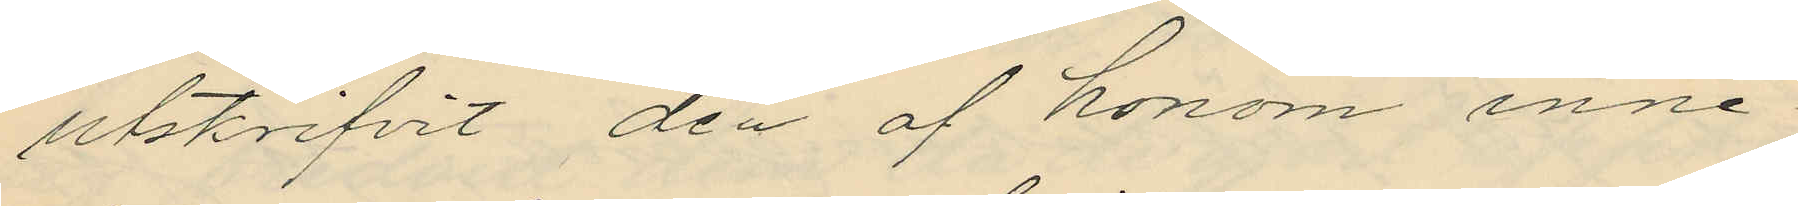utskrifvit den af honom inne¬
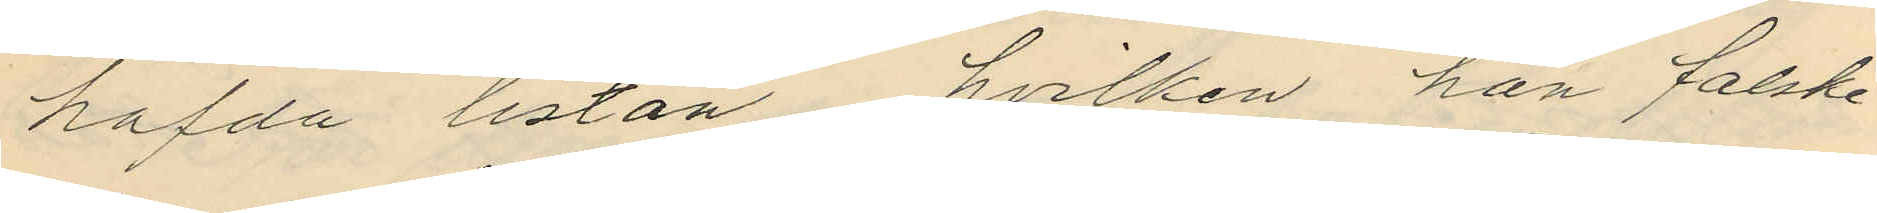hafda listan, hvilken han falske¬
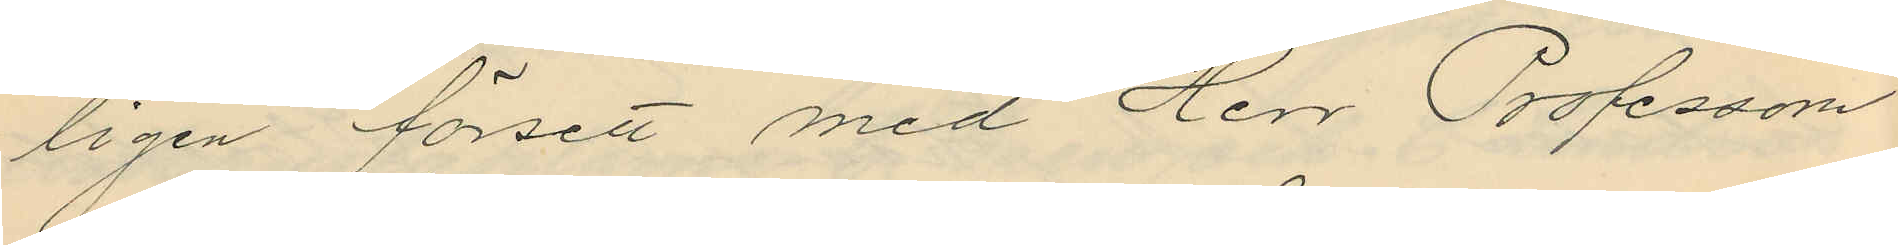ligen försett med Herr Professorn
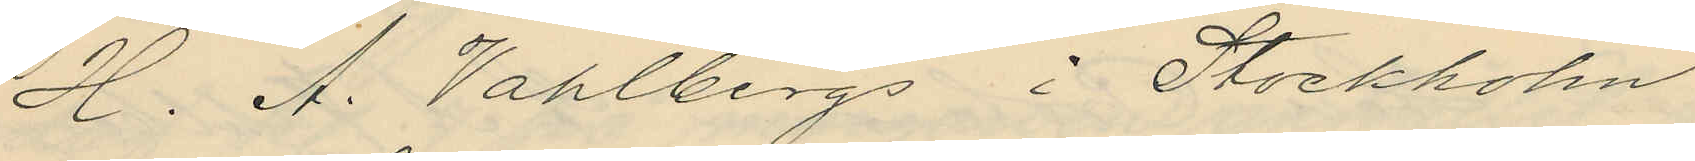H. A. Vahlbergs i Stockholm
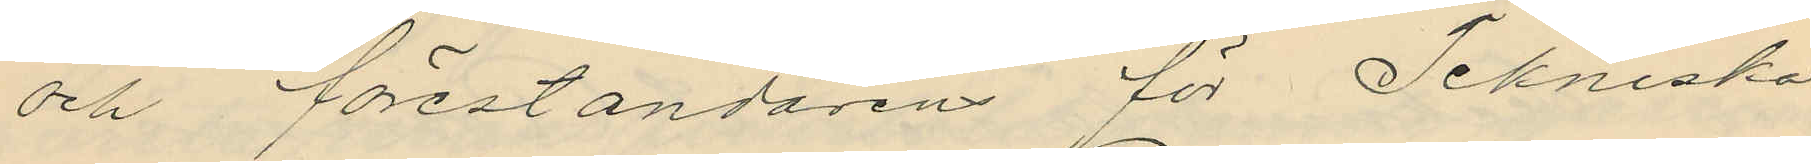och föreståndarens för Tekniska
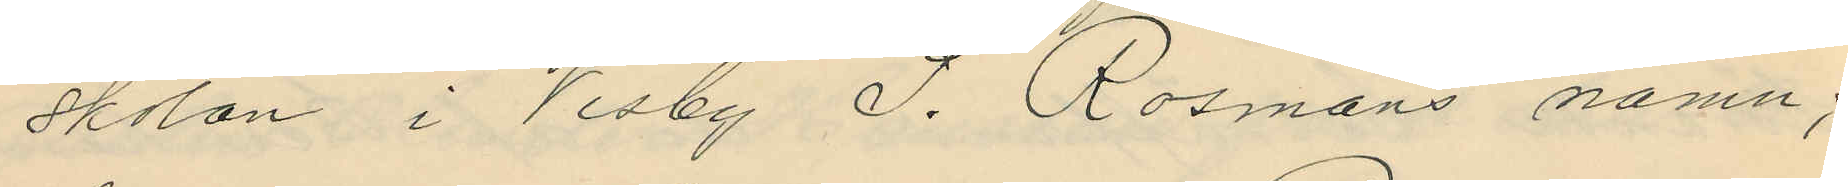skolan i Visby S. Rosmans namn;
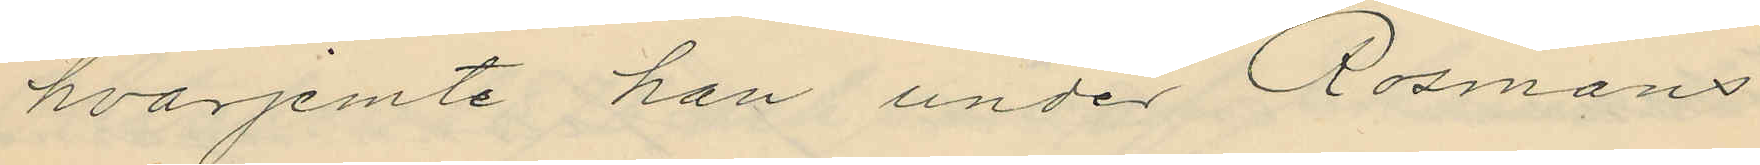hvarjemte han under Rosmans
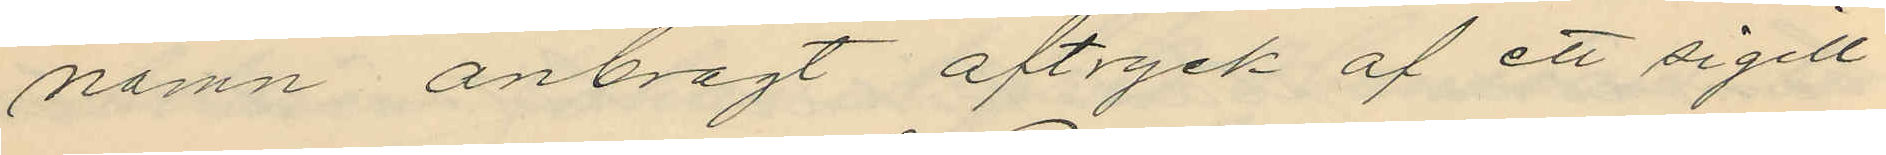namn anbragt aftryck af ett sigill
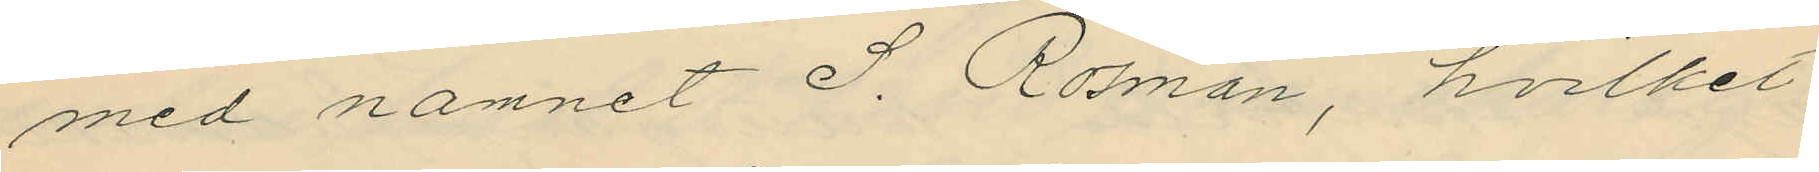med namnet S. Rosman, hvilket
